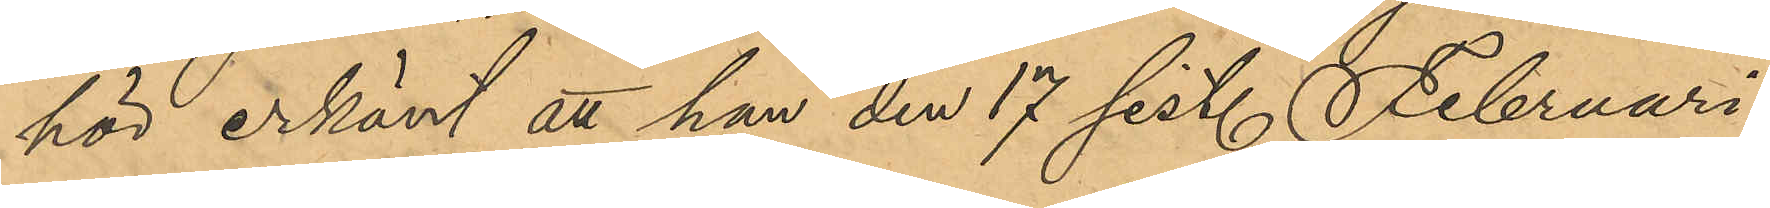hör erkänt att han den 17 sist. Februari,
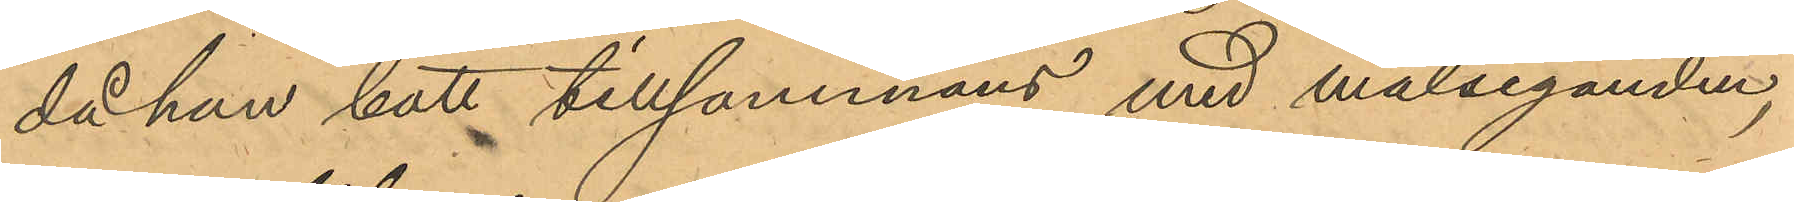då han bott tillsammans med målseganden,
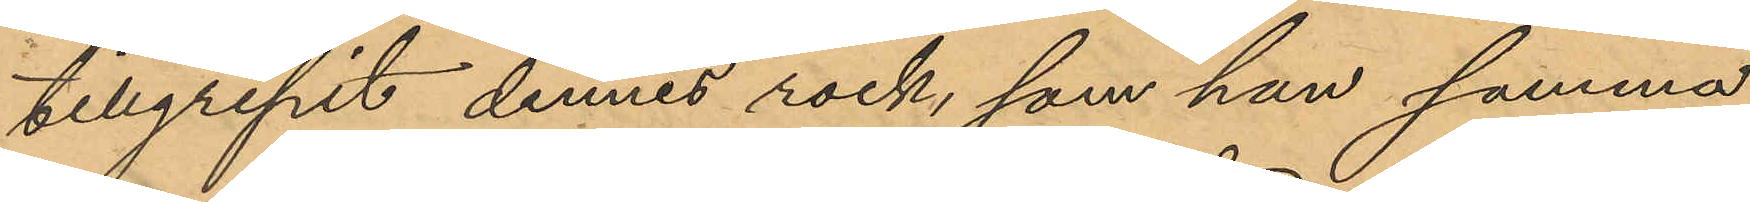tillgripit dennes rock, som han samma
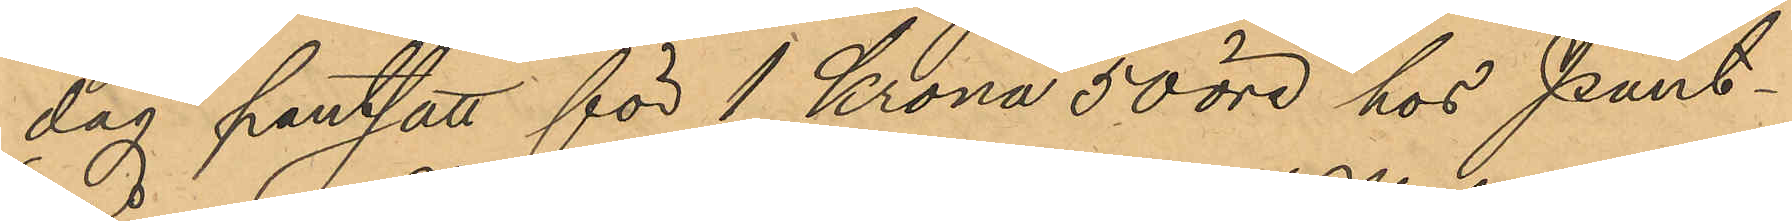dag pantsatt för 1 Krona 50 öre hos Pant¬
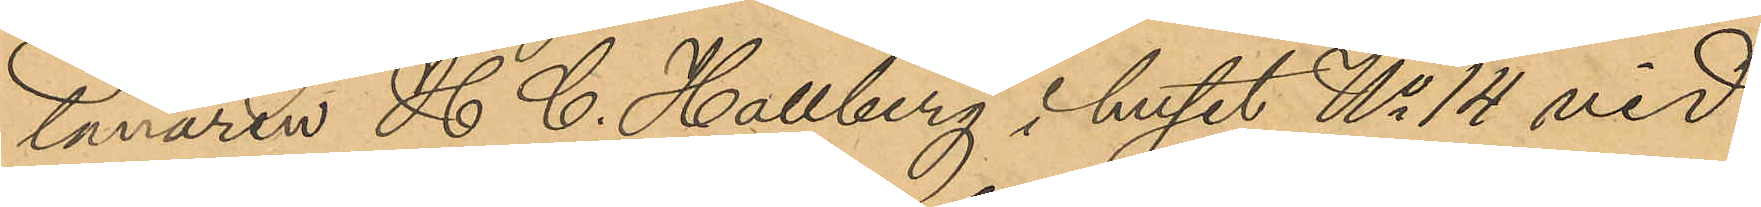lånaren H. C. Hallberg i huset No 14 vid
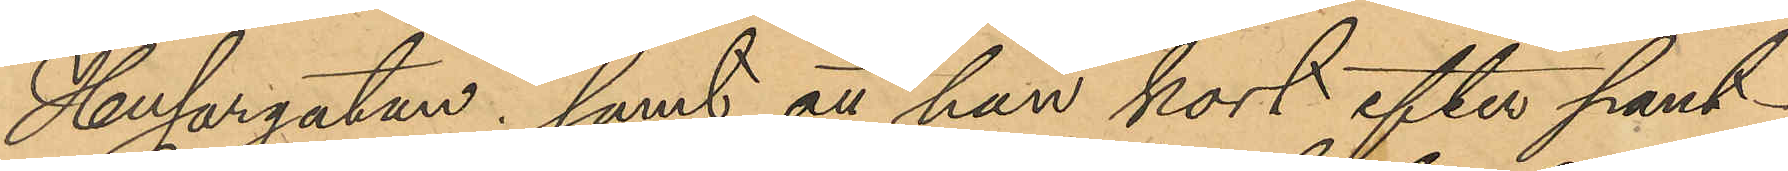Husargatan; samt att han kort efter pant¬
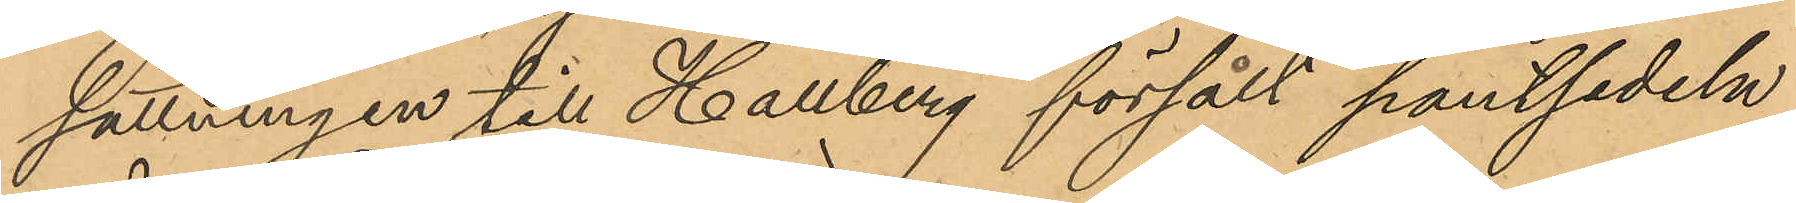sättningen till Hallberg försålt pantsedeln
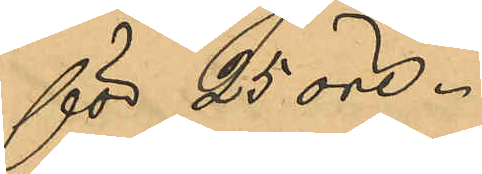för 25 öre.
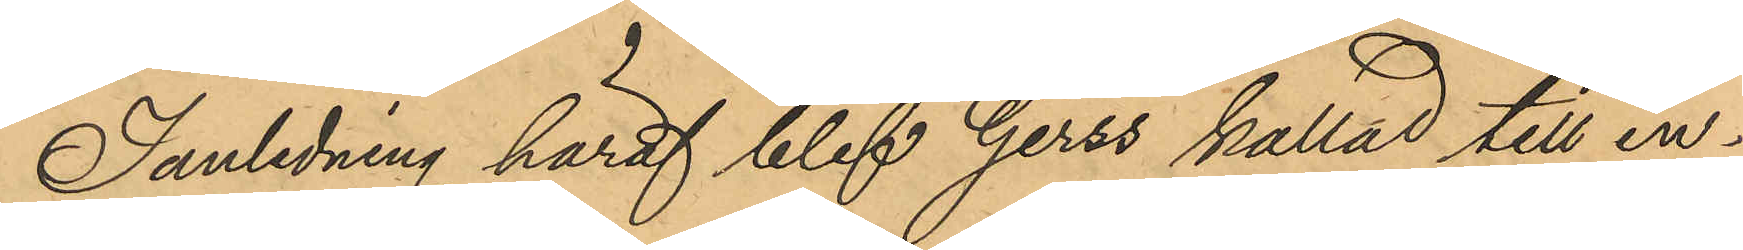I anledning häraf blef Gerss kallad till in¬
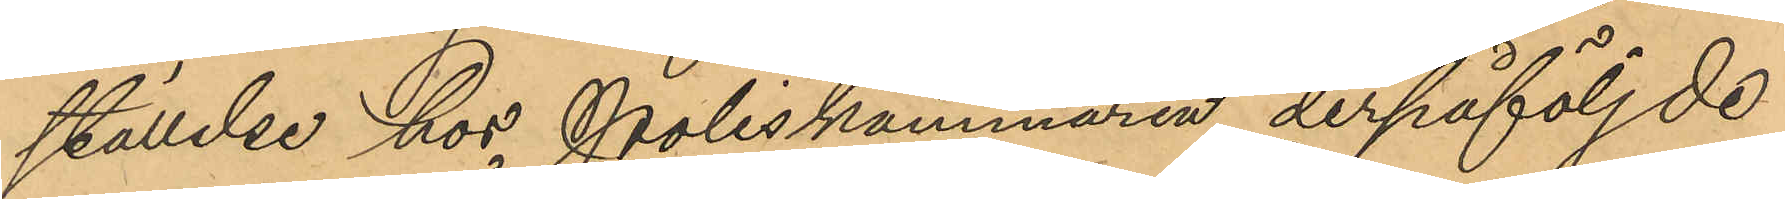ställelse hos Poliskammaren derpåföljde
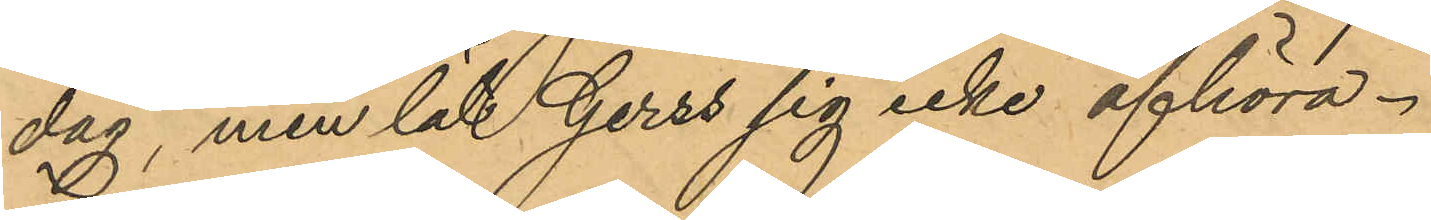dag, men lät Gerss sig icke afhöra.
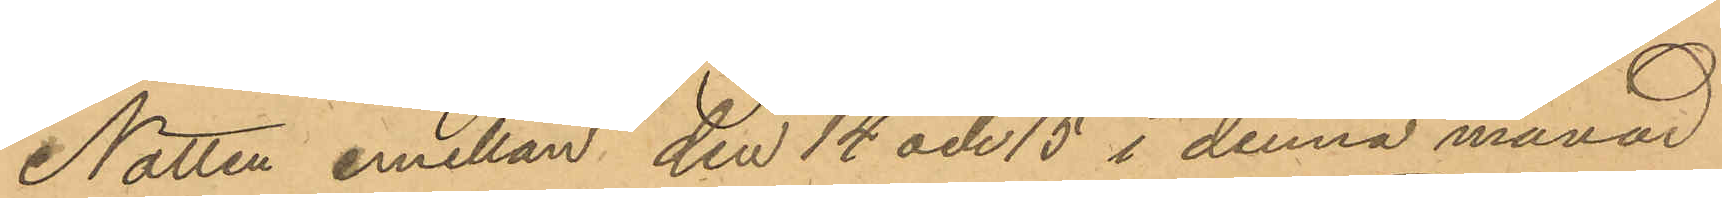Natten emellan den 14 och 15 i denna månad
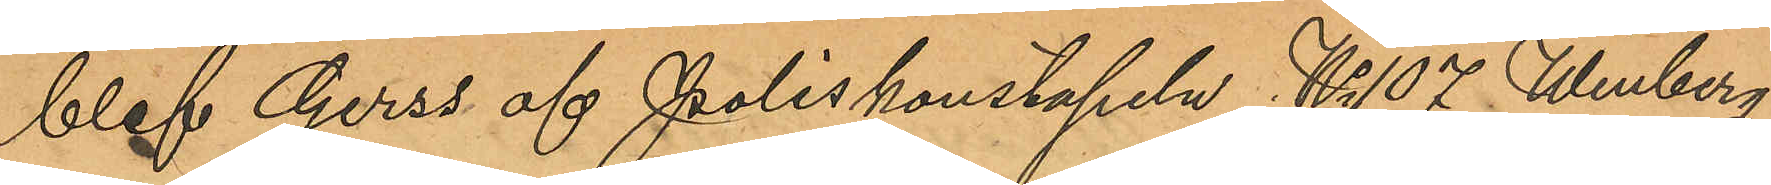blef Gerss af Poliskonstapeln No 107 Winberg
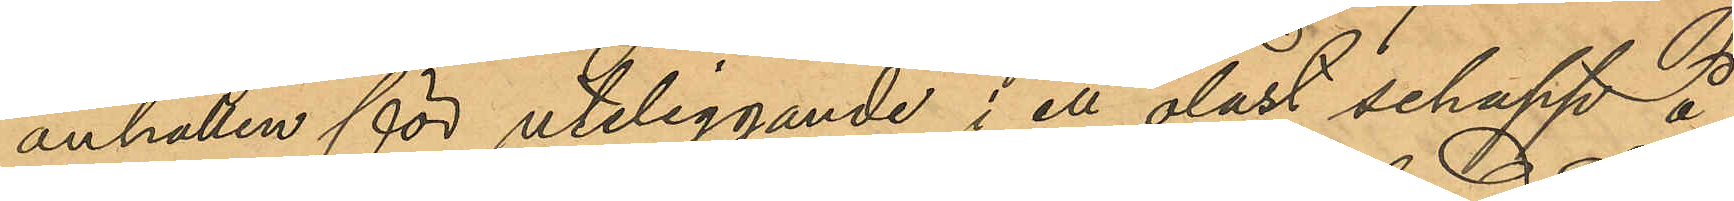anhållen för uteliggande i ett olåst schapp å
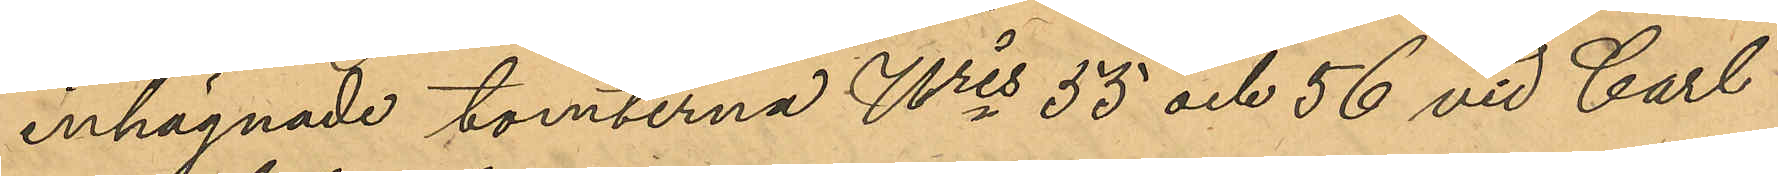inhägnade tomterna Nris 55 och 56 vid Carl
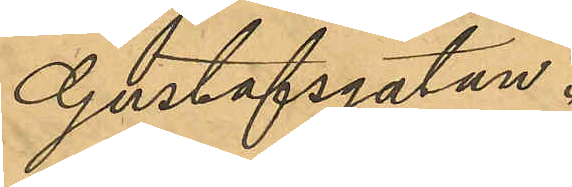Gustafsgatan.
